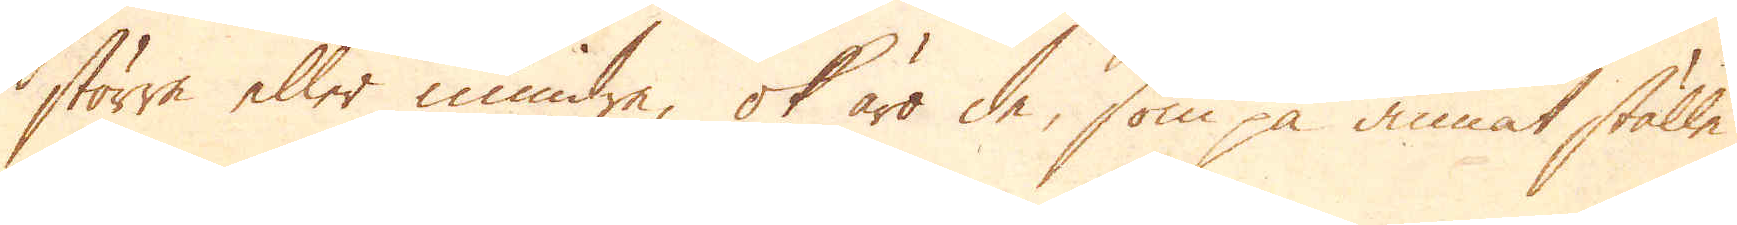större eller mindre, ok äro de, som på annat ställe
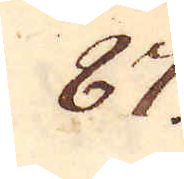87.
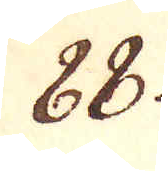88.
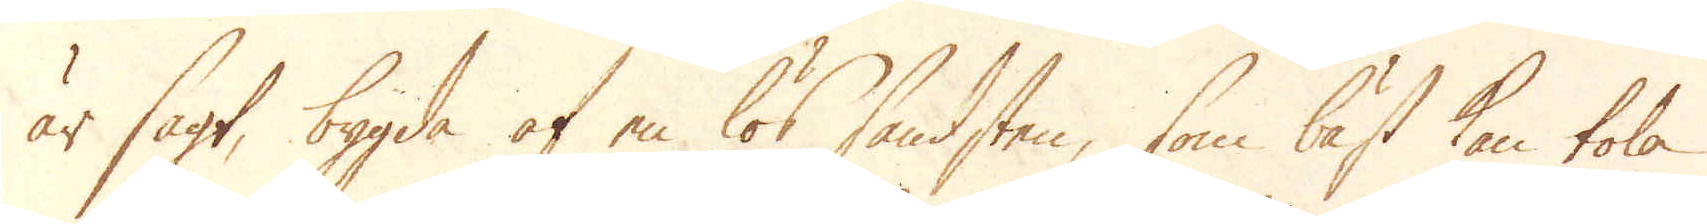är sagt, bygda af en lös sandsten, som bäst kan tola
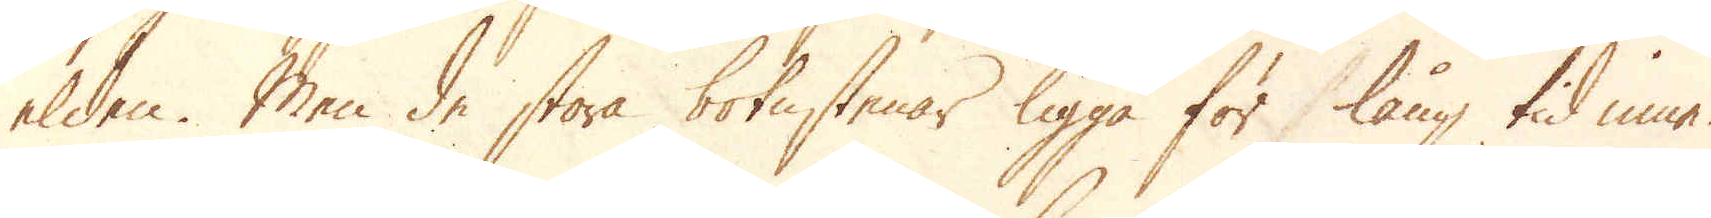elden. Men de stora botenstenar ligga för lång tid inne.
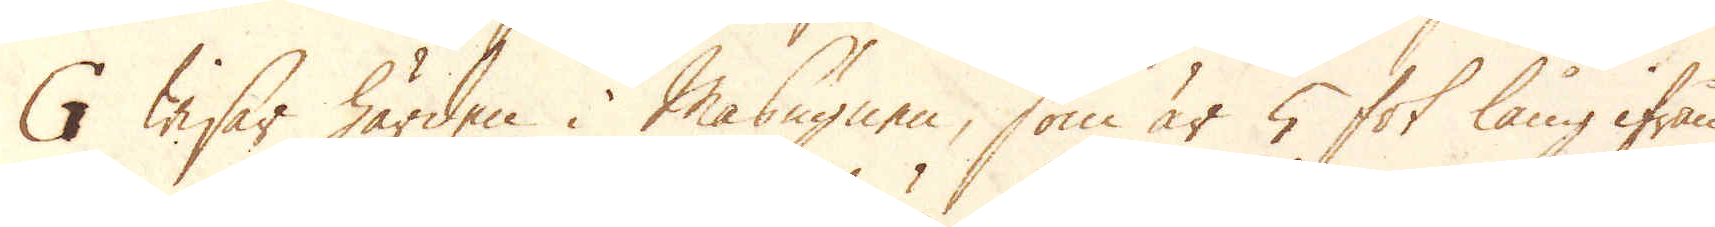G wisar härden i Masugnen, som är 5 fot lång ifrån
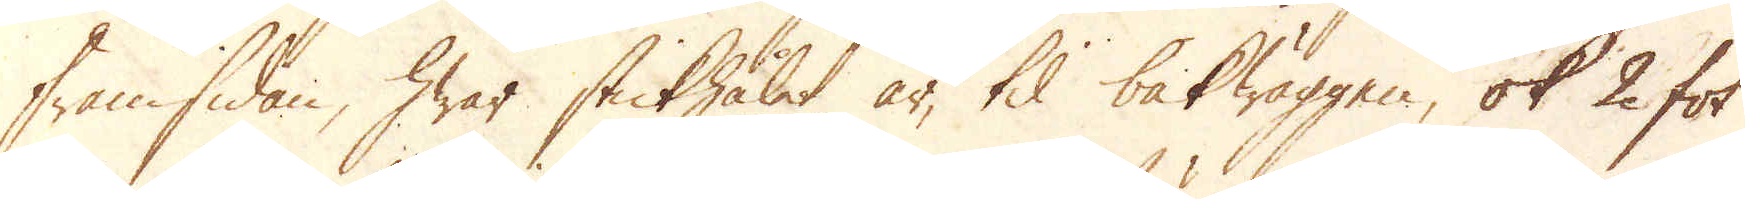framsidan, hwar stickhålet är, til bakwäggen, ok 2 fot
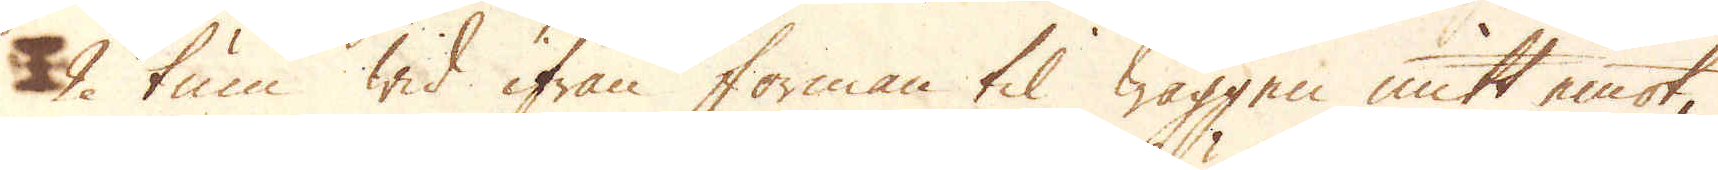9 tum wid ifrån forman til wäggen mitt emot,
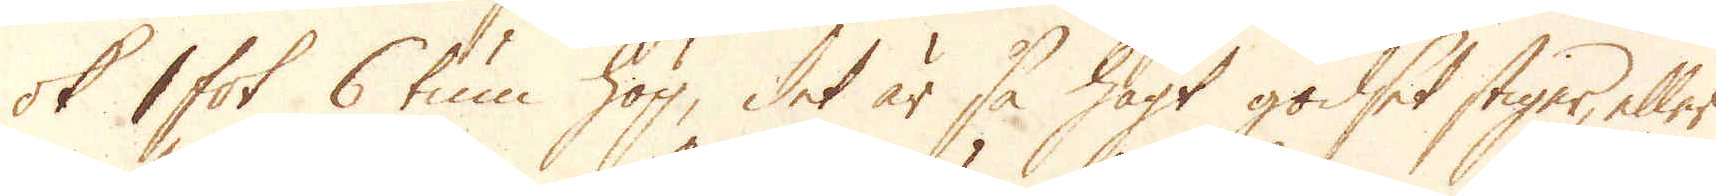ok 1 fot 6 tum hög, det är så högt godset stiger eller
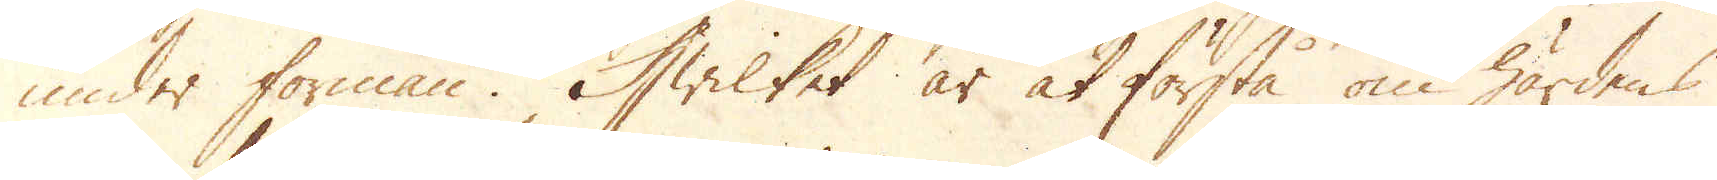under förman. Hwilket är at förstå om härdens
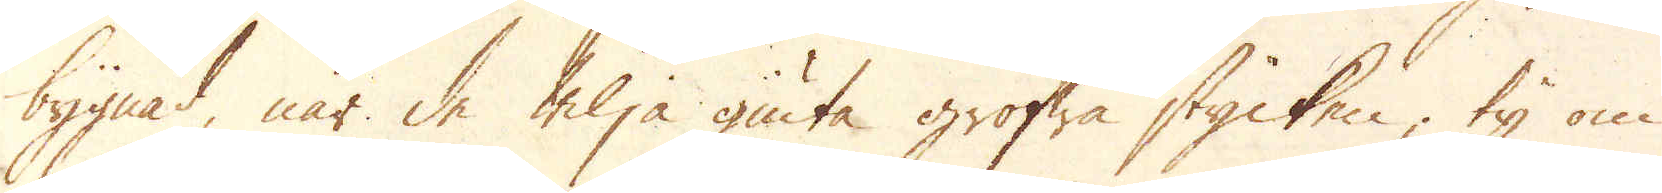bygnad, när de wilja giuta grofwa stycken, ty om
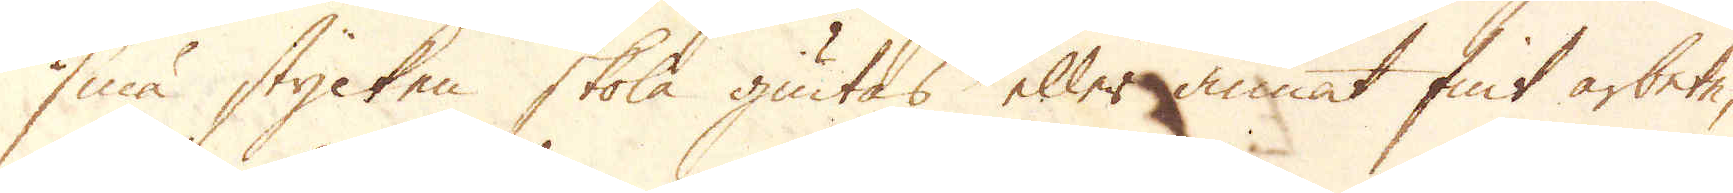små stycken skola giutas eller annat fint arbete,
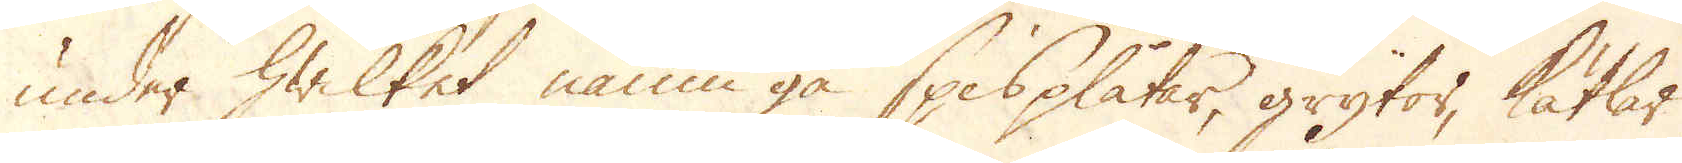under hwilket namn gå spisplåtar, grytor, kitlar
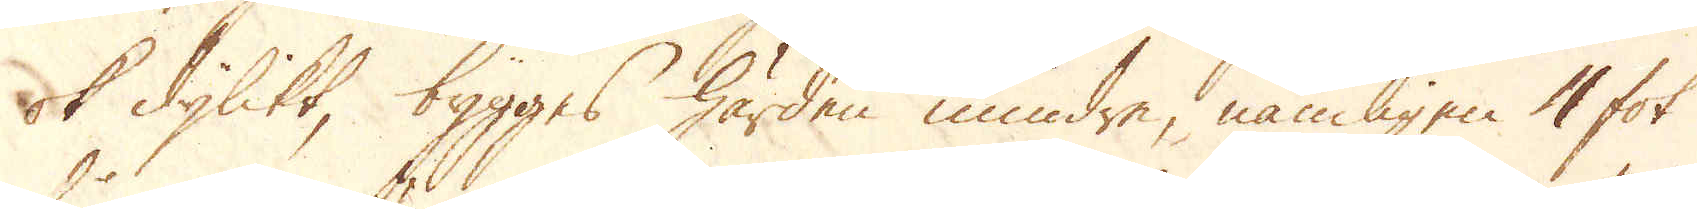ok dylikt, bygges härden mindre, nämligen 4 fot
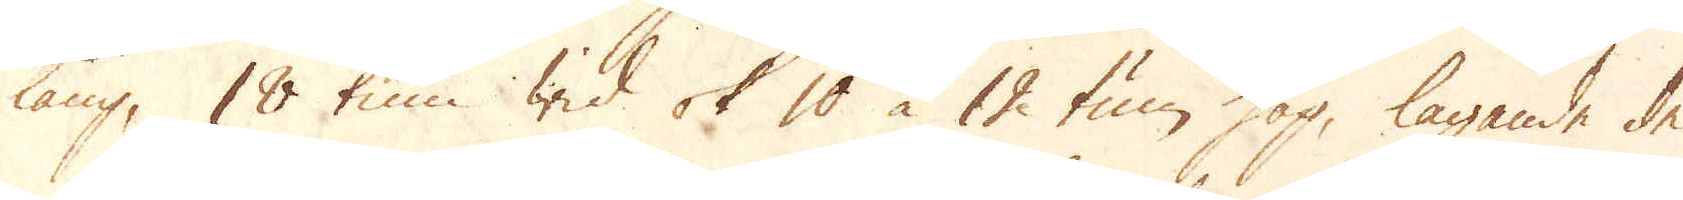lång, 18 tum wid ok 10 à 12 tum hög, tagande de
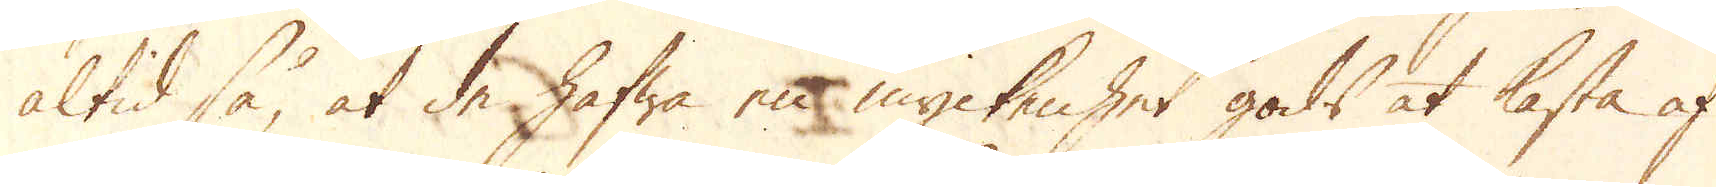altid så, at de hafwa en myckenhet gods at kasta af
